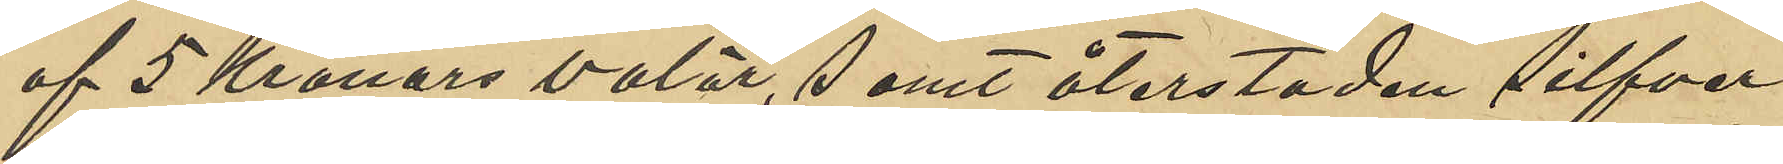af 5 Kronors valör, samt återstoden silfver
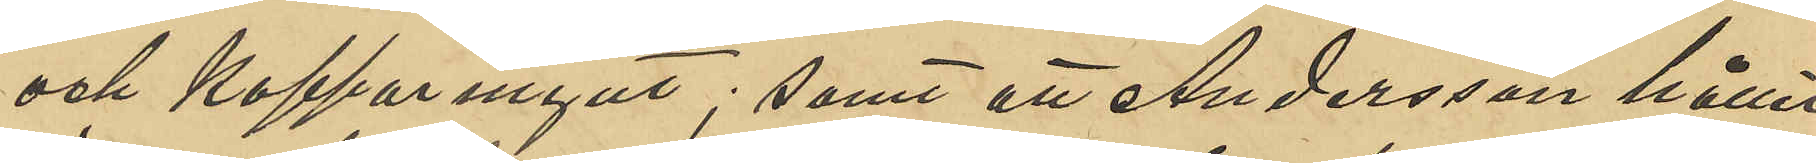och kopparmynt; samt att Andersson hållit
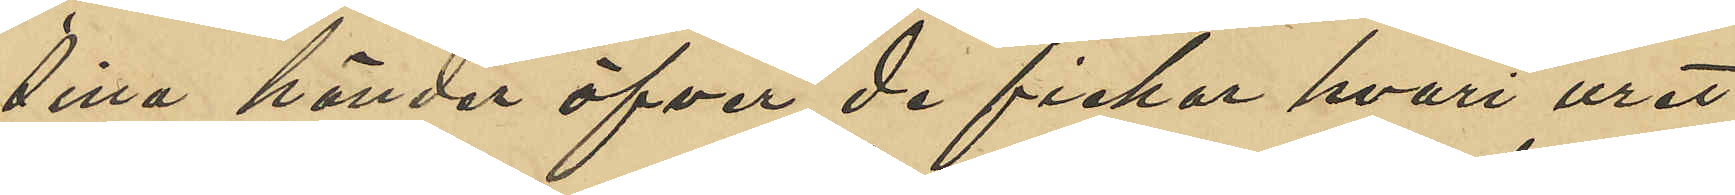sina händer öfver de fickor hvari uret
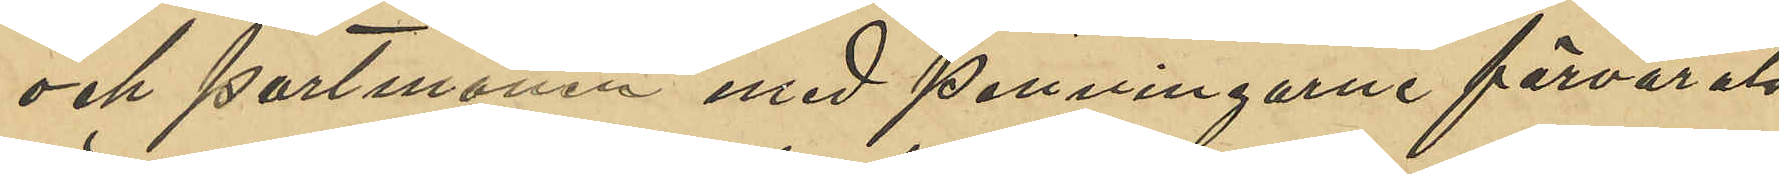och portmonen med penningarne förvarats
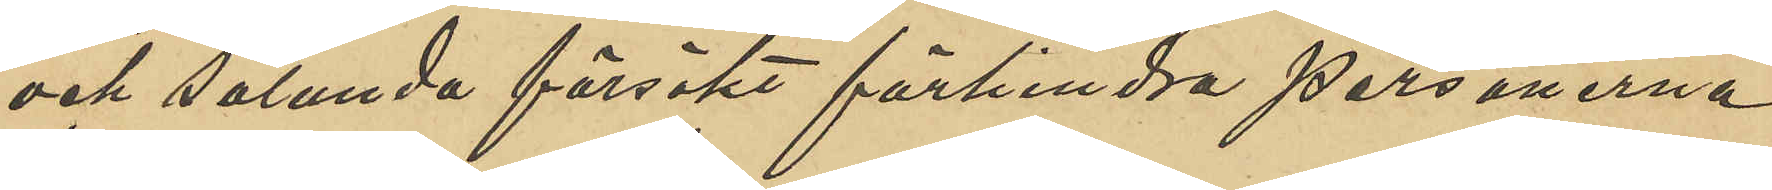och sålunda försökt förhindra personerna
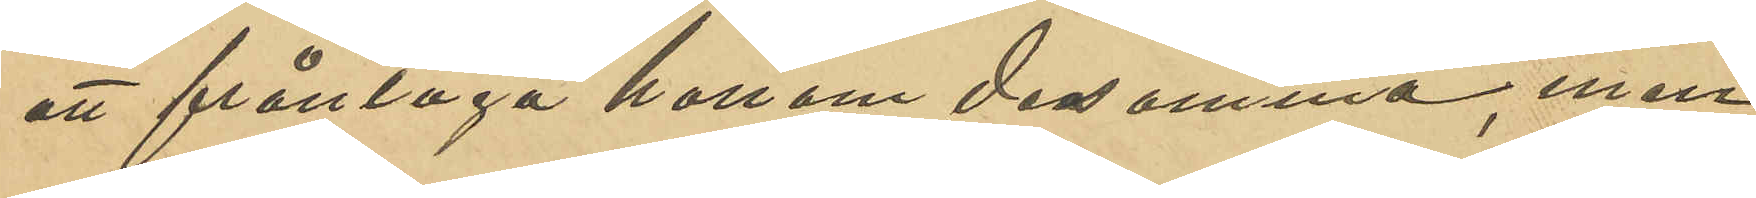att fråntaga honom desamma, men
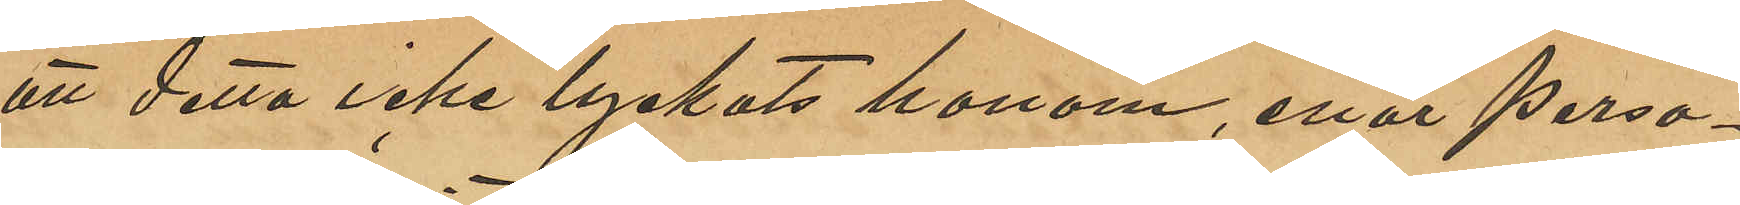att detta icke lyckats honom, enär perso¬
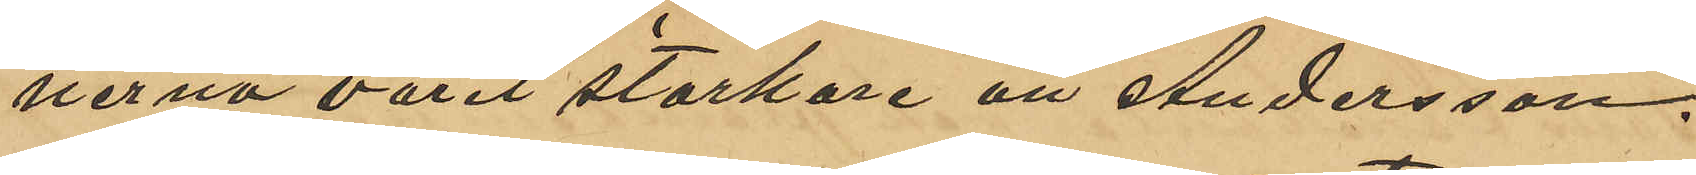nerna varit starkare än Andersson.
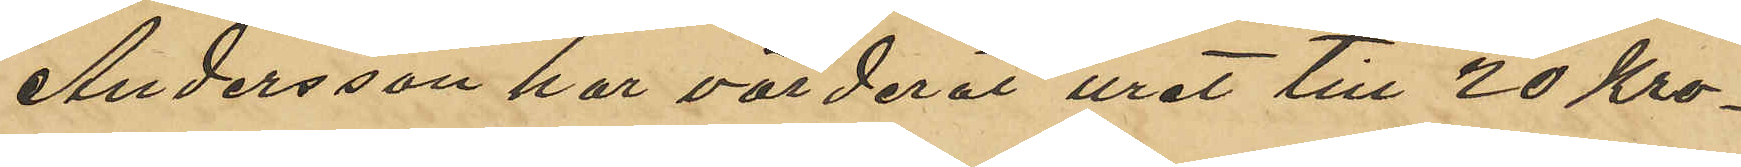Andersson har värderat uret till 20 Kro¬
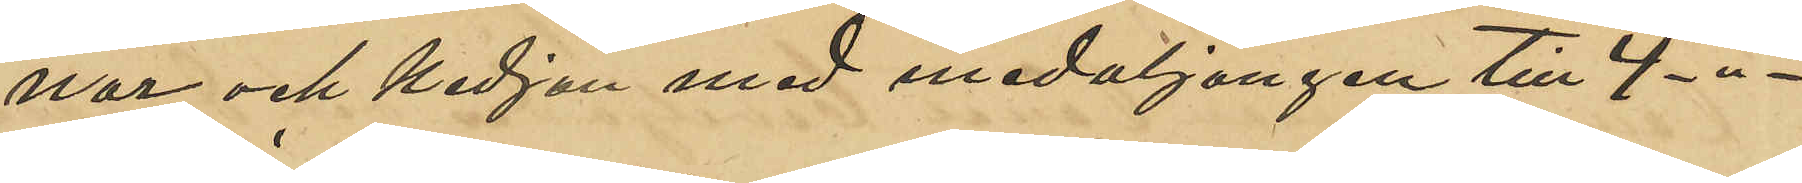nor och kedjan med medaljongen til 4 -"-.
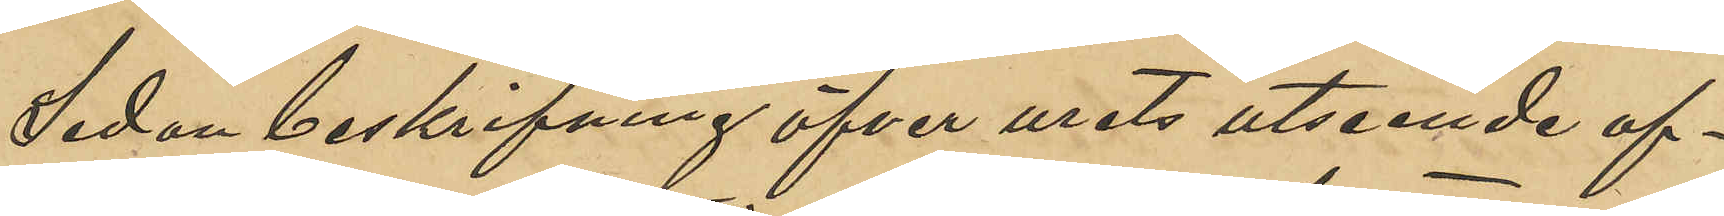Sedan beskrifning öfver urets utseende af¬
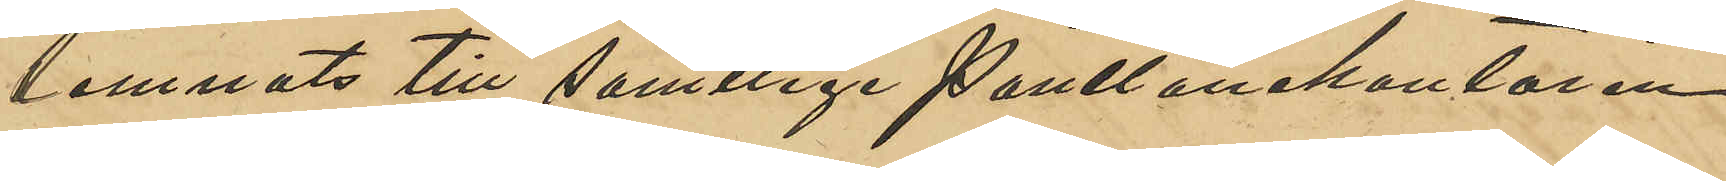lemnats till samtlige Pantlånekontoren,
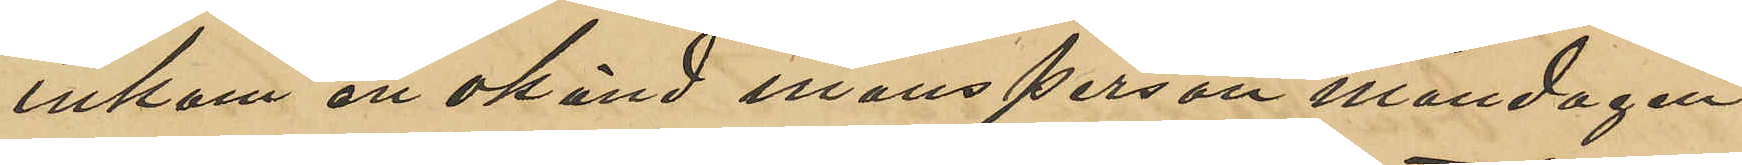inkom en okänd mansperson måndagen
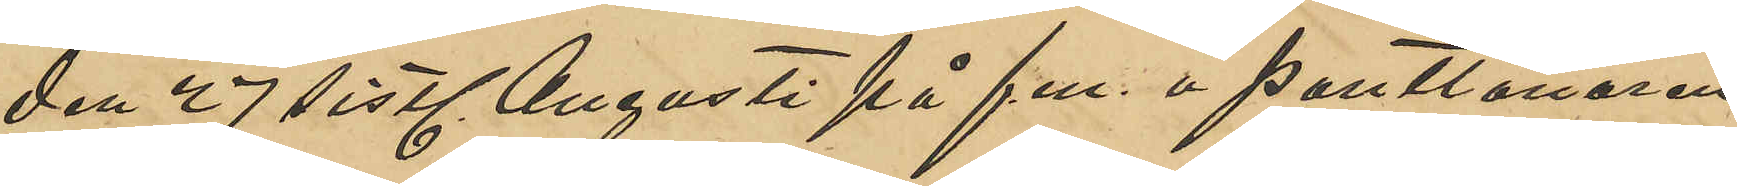den 27 sistl. Augusti på f.m. å Pantlånaren
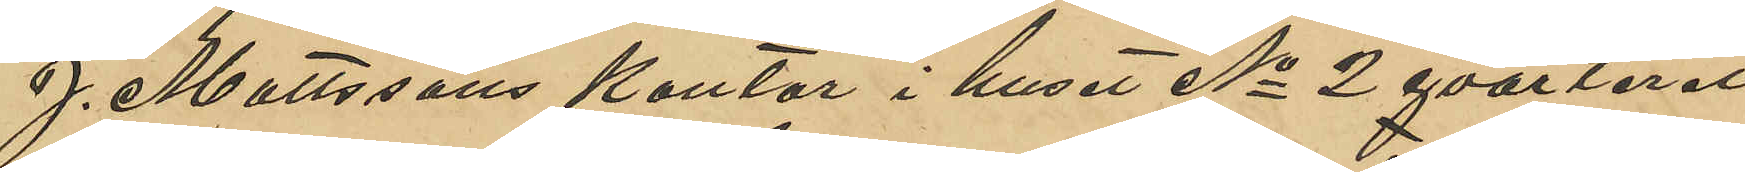J. Mattssons kontor i huset No 2 qvarteret
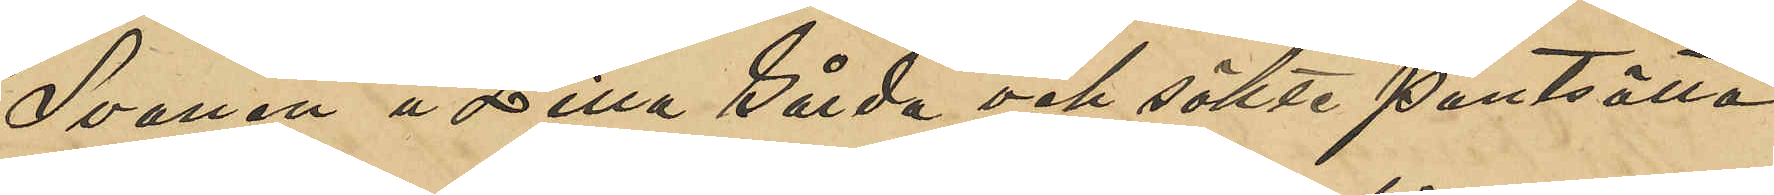Svanen å Lilla Gårda och sökte pantsätta
